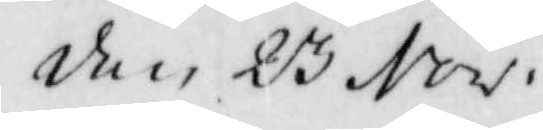den 23 Nov.
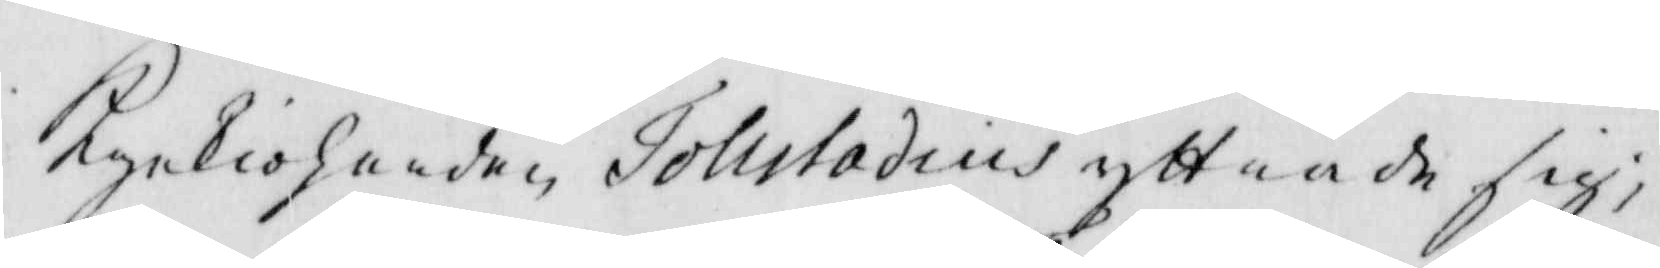Kyrkioherden Tolutadius yttrade sig,
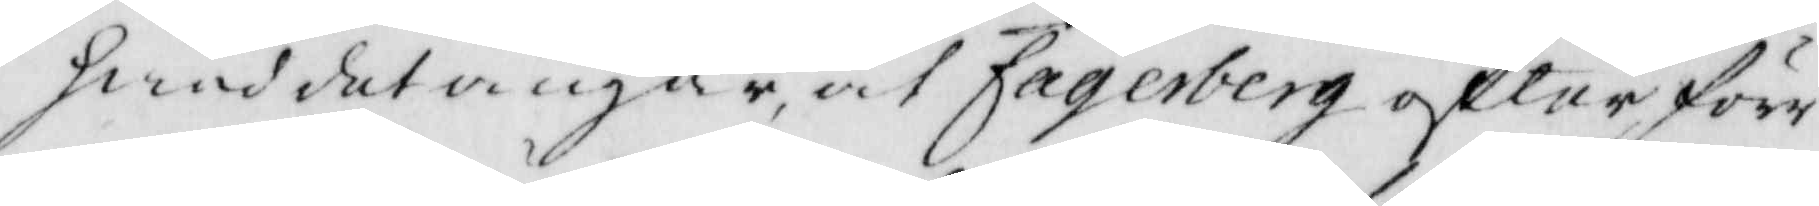hwad det angår at Fagerberg efter förr
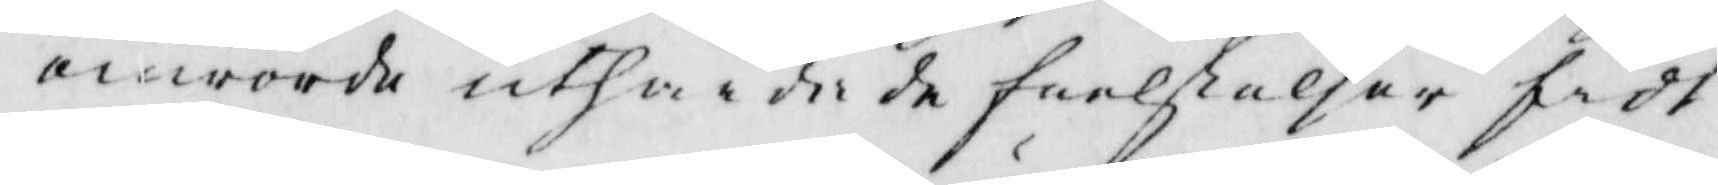omrörde uthärdade frelselder fådt
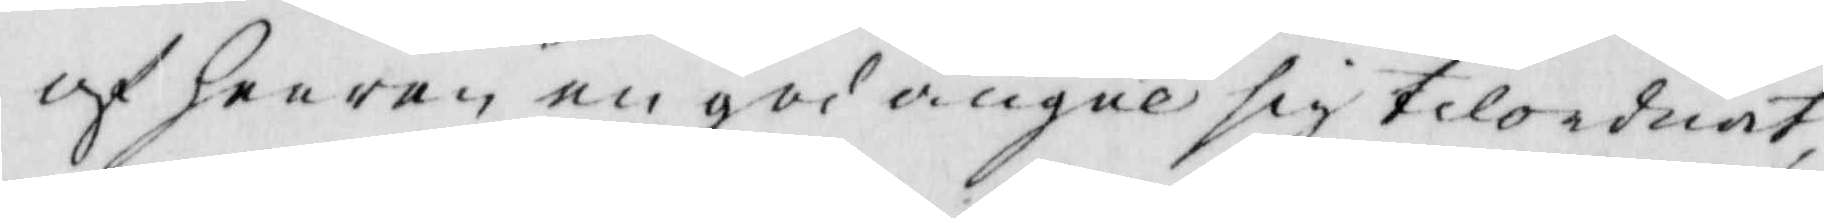af herren en god augne sig tilordnat,
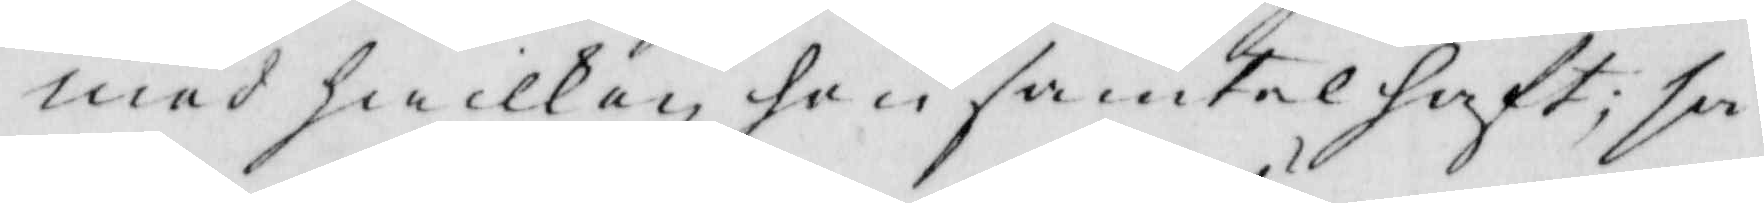med hwilken hon samtal haft: så
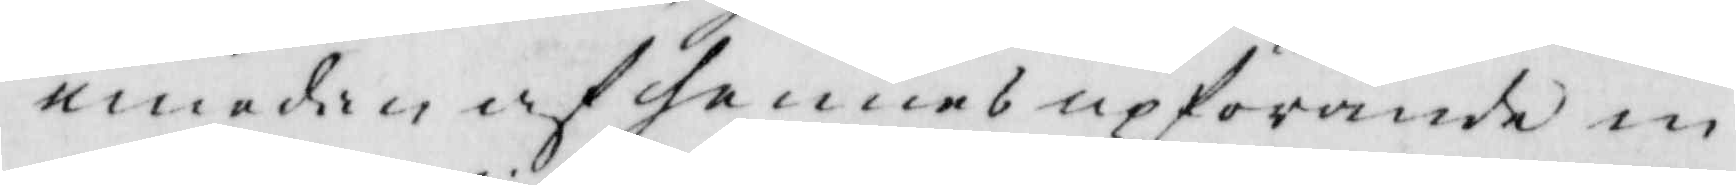emedan af hennes upförande in¬
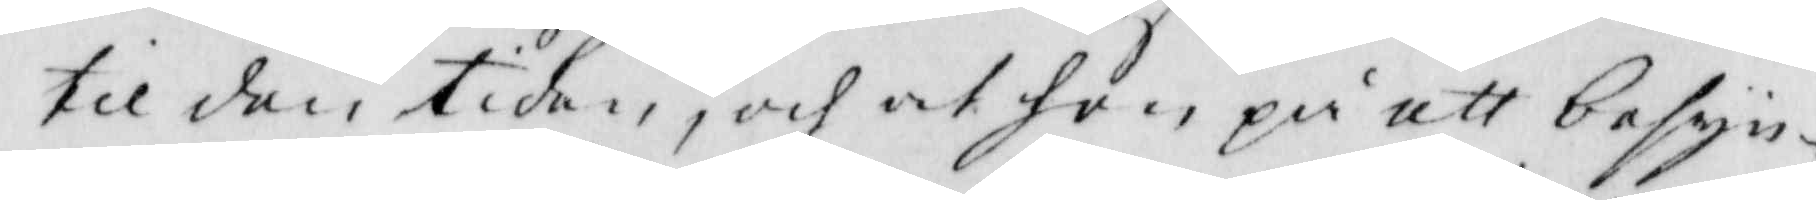til den tiden, och at hon på ett besyn¬
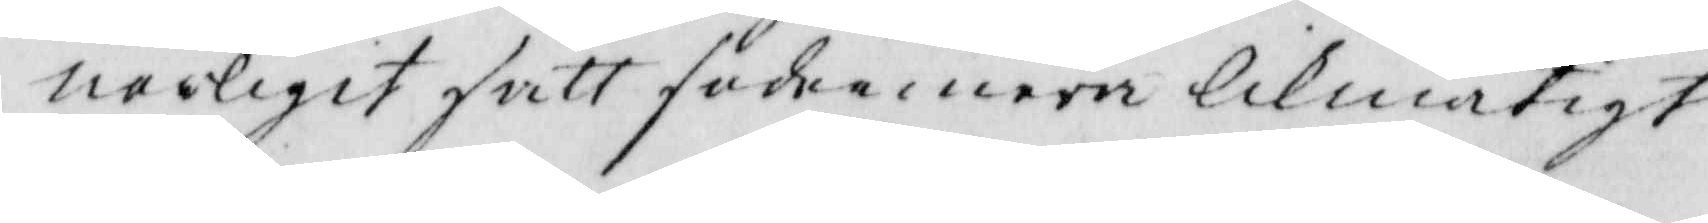nerligit sätt sedermera likmätigt
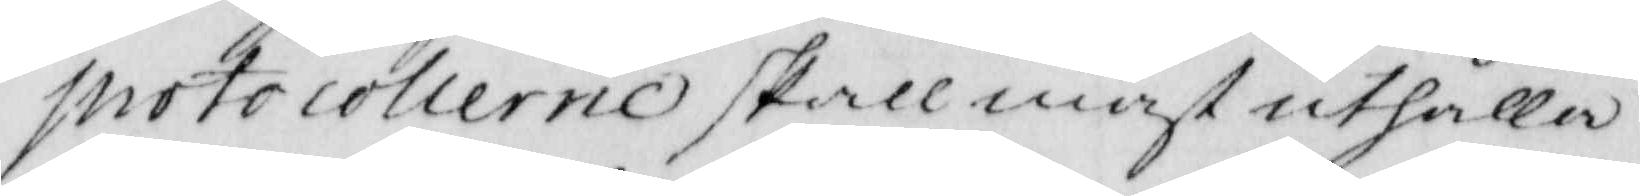protocollerne skall måst uthålla
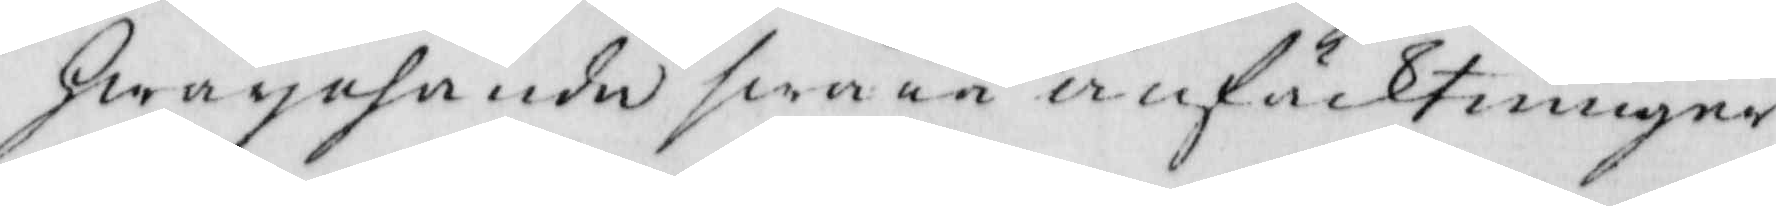Hwarjehanda swåra anfächtningar
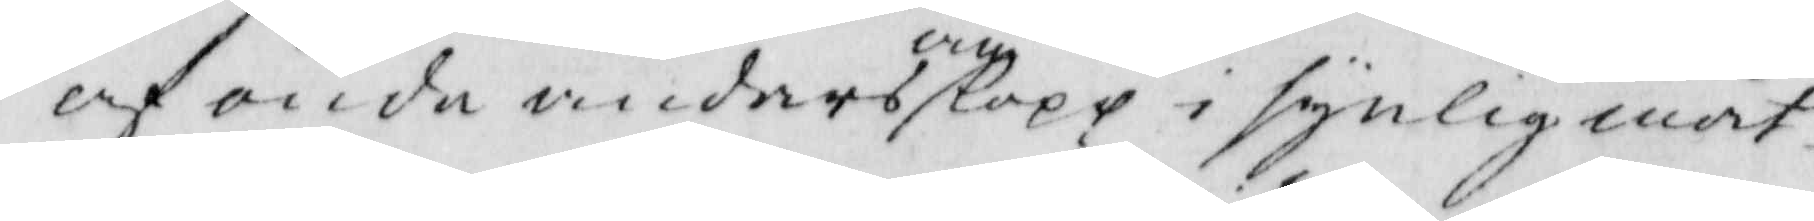och onda andars omlopp i synlig måt¬
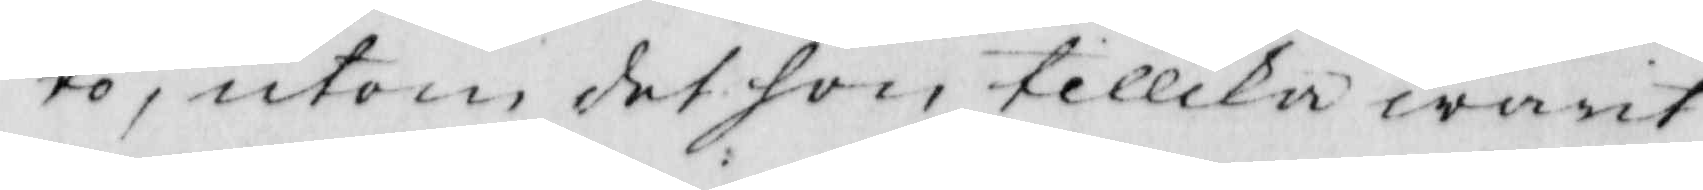to, utom det hon tillika warit
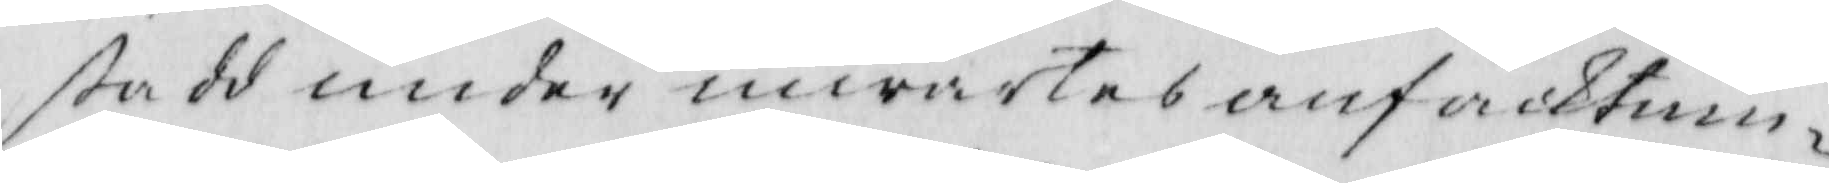stadd under inwärtes anfäcktnin¬
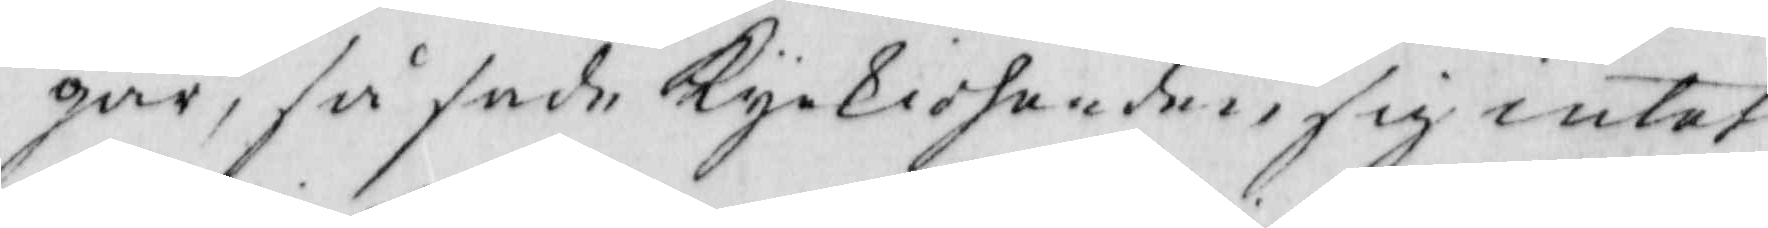gar, så sade Kyrkioherden, sig intet
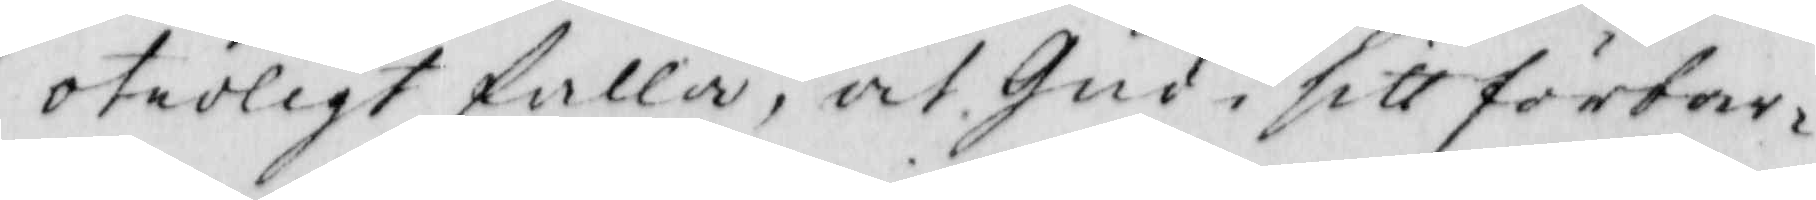otroligt falla, at gud i sitt förbar¬
